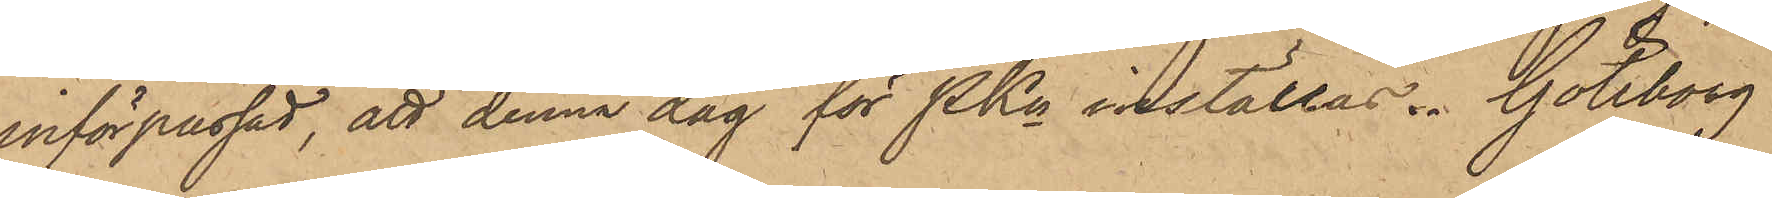införpassad, att denna dag för PKn inställas. Göteborg
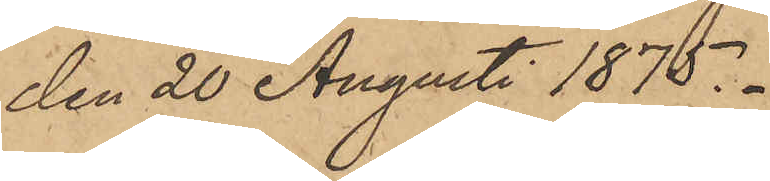den 20 Augusti 1875.
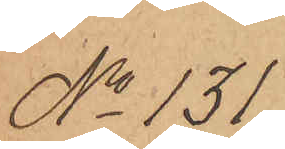No 131.
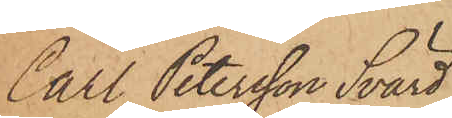Carl Petersson Svärd
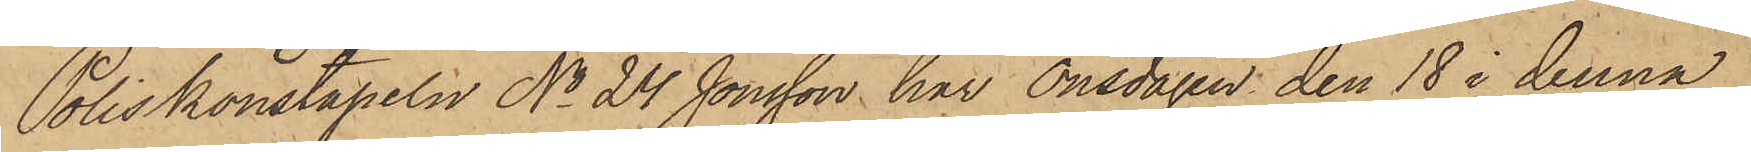Poliskonstapeln No 24 Jonsson har Onsdagen den 18 i denna
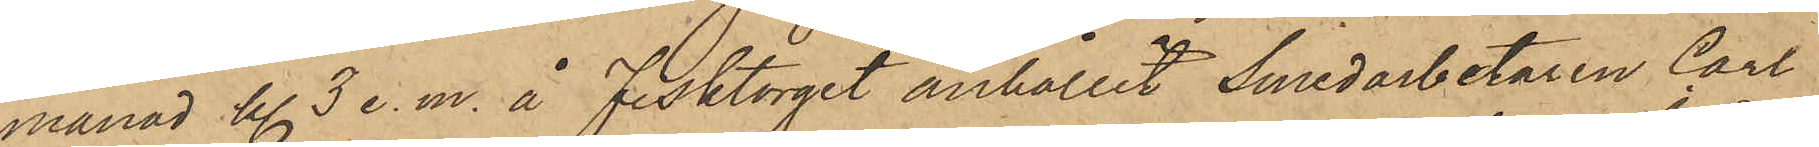månad Kl. 3 e.m. å Fisktorget anhållit Smedarbetaren Carl
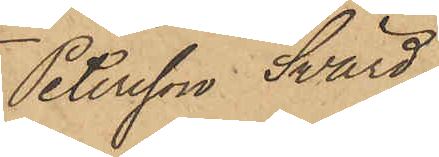Petersson Svärd
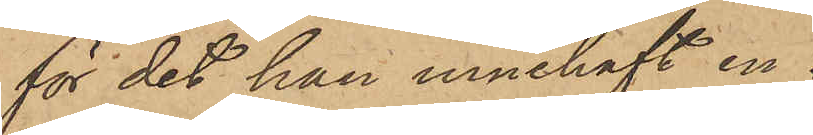för det han innehaft en
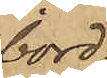bord¬
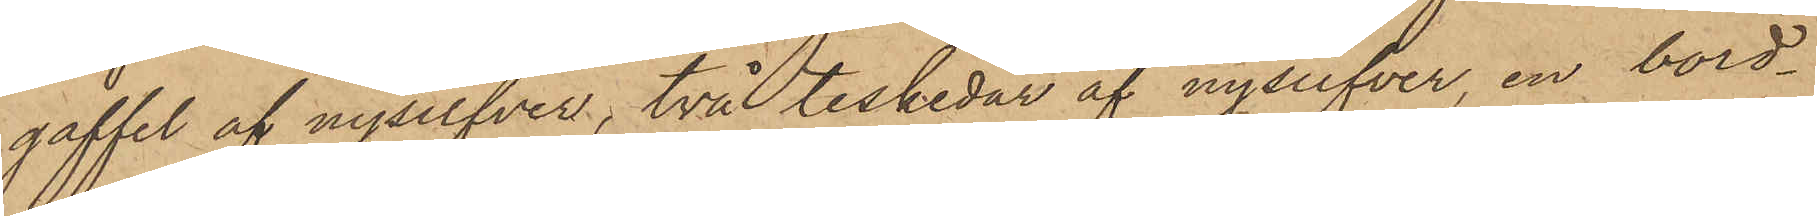gaffel af nysilfver, två teskedar af nysilfver, en bord¬
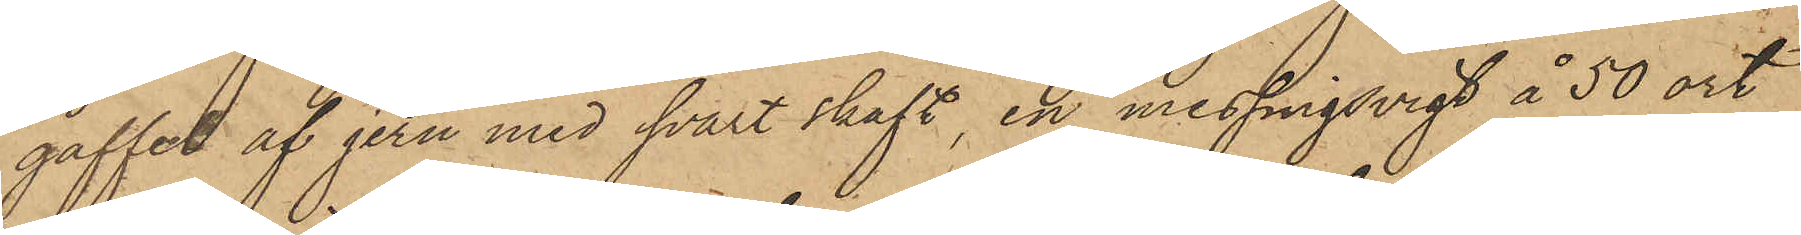gaffel af jern med svart skaft, en messingsvigt å 50 ort
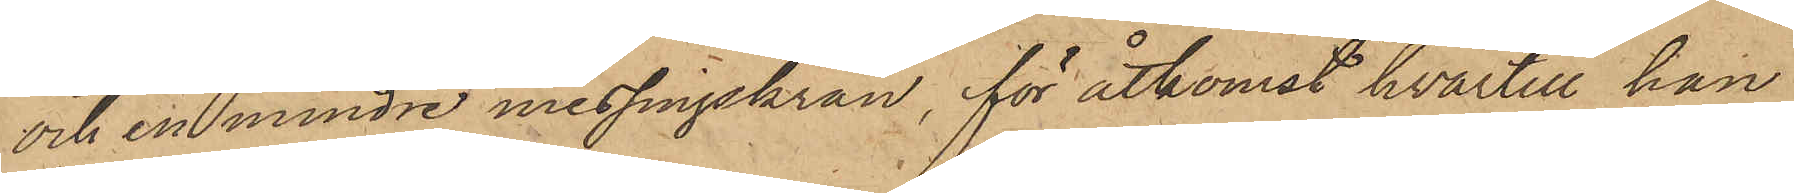och en mindre messingskran, för åtkomst hvartill han
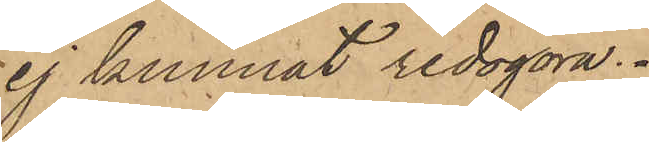ej kunnat redogöra.
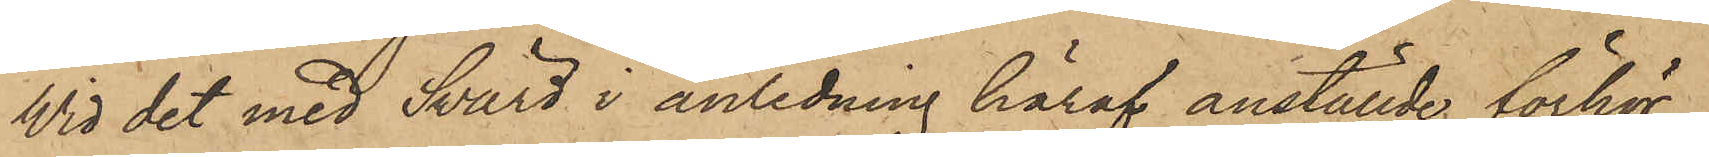Wid det med Svärd i anledning häraf anställde förhör,
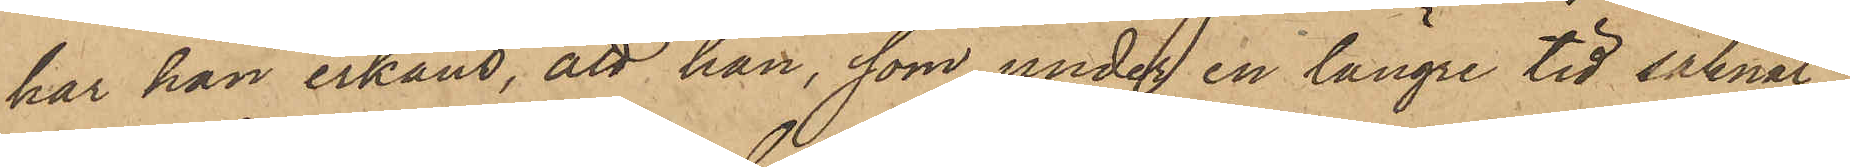har han erkänt, att han, som under en längre tid saknat
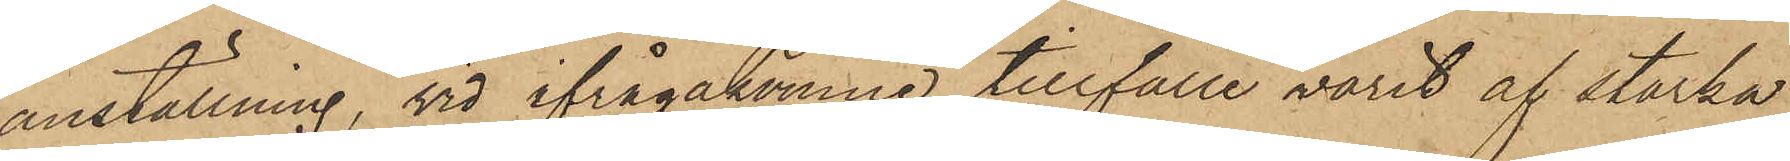anställning, vid ifrågakomne tillfälle varit af starka
